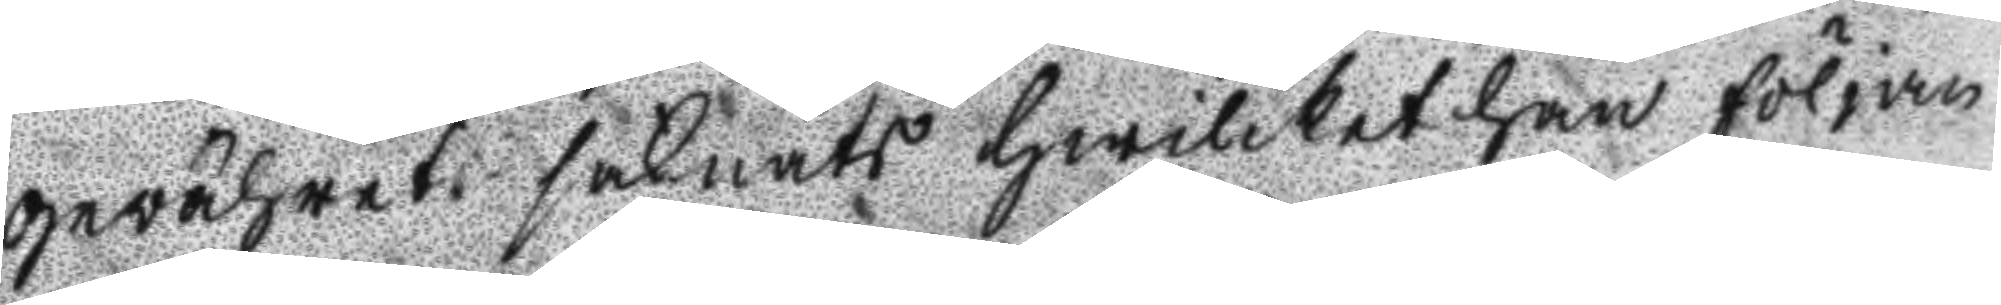gewähret saknats hwilket han följan
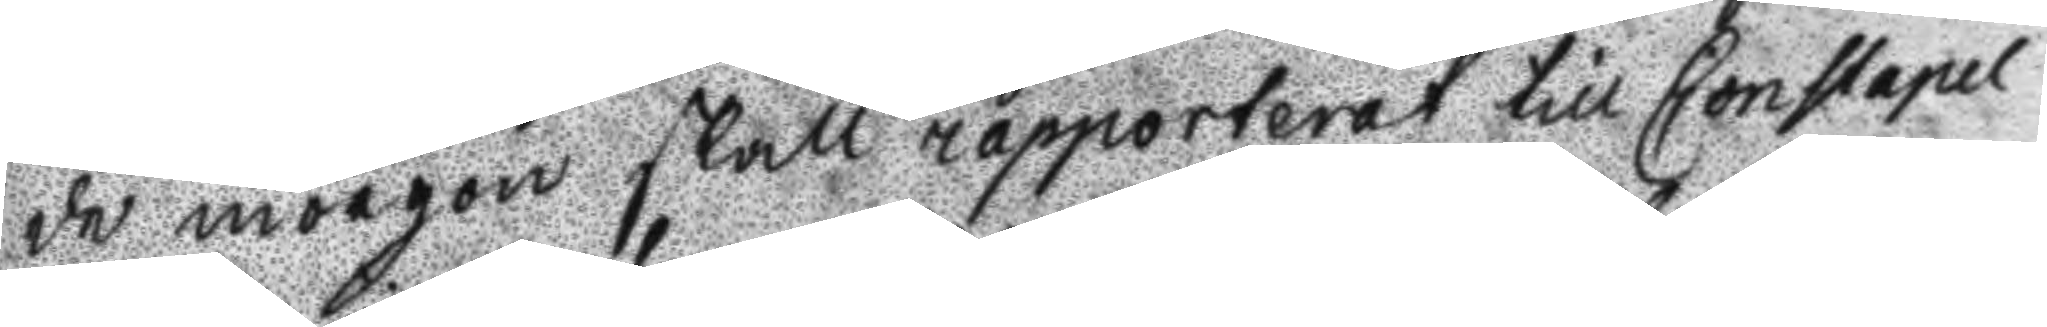de morgon skall rapporterat till Constapel
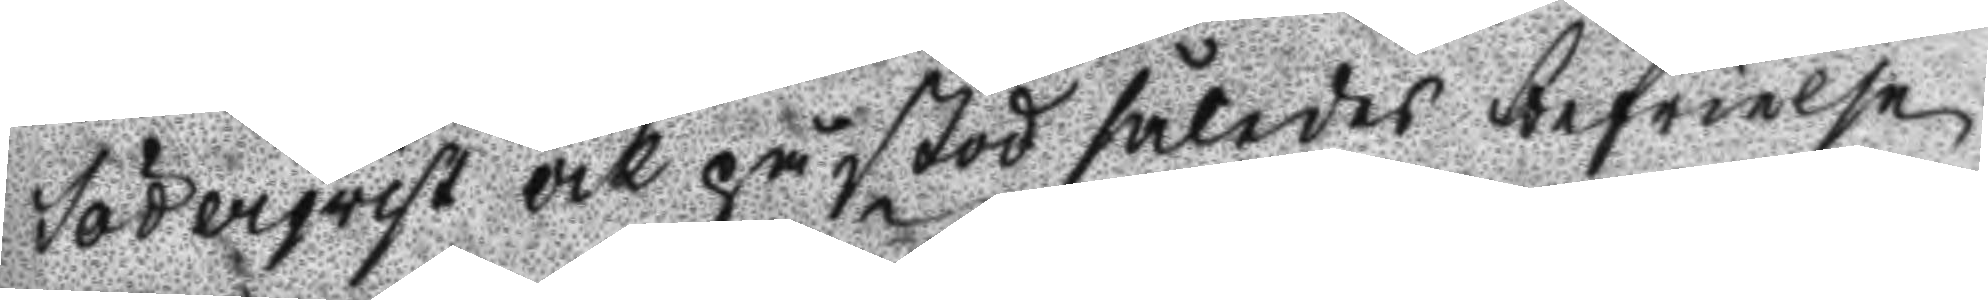Söderqvist och påstod således befrielse
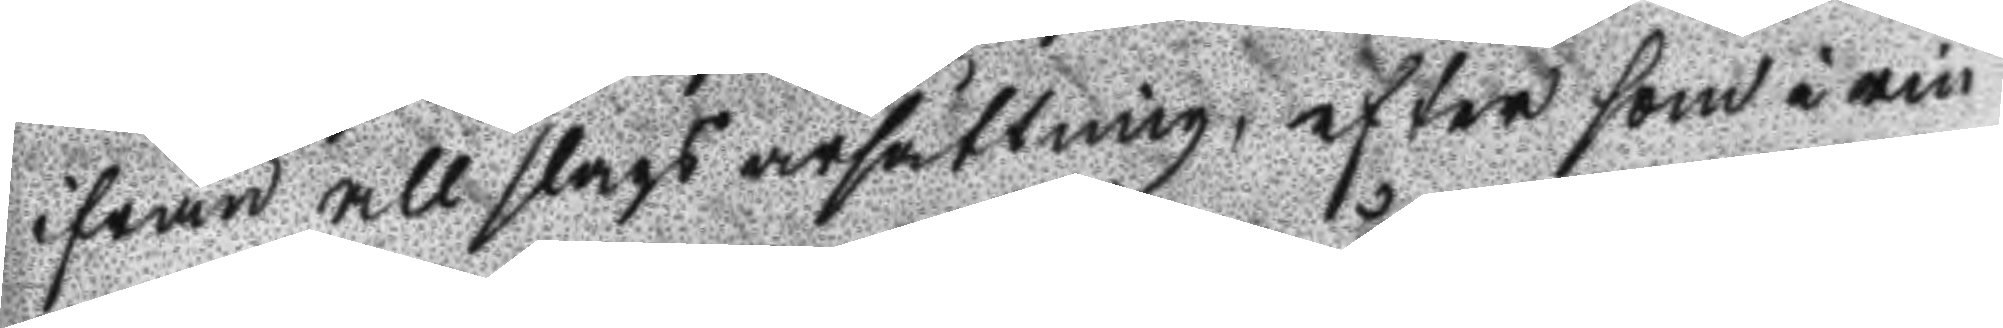ifrån all slags ärsättning, efter som i rin
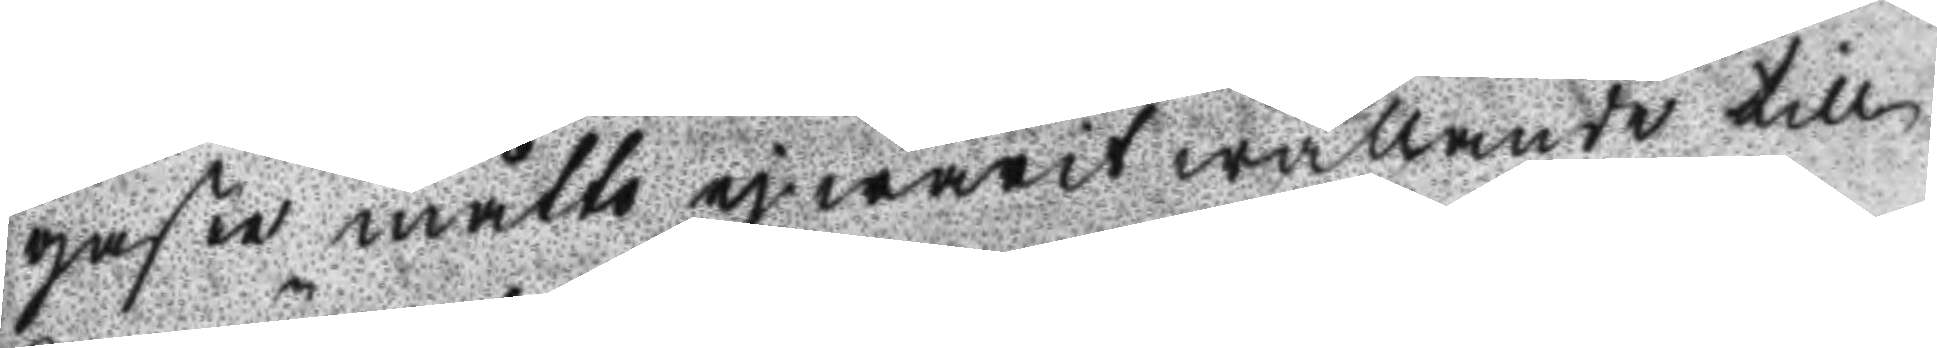gaste måtto ej warit wållande till
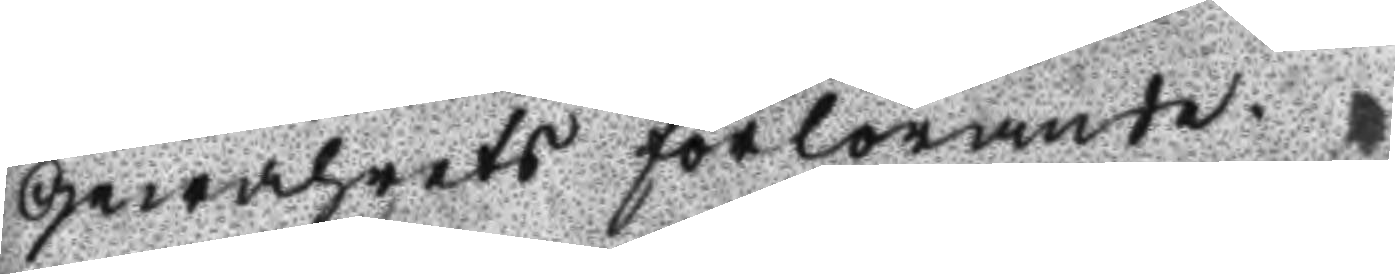gewährets förlorande.
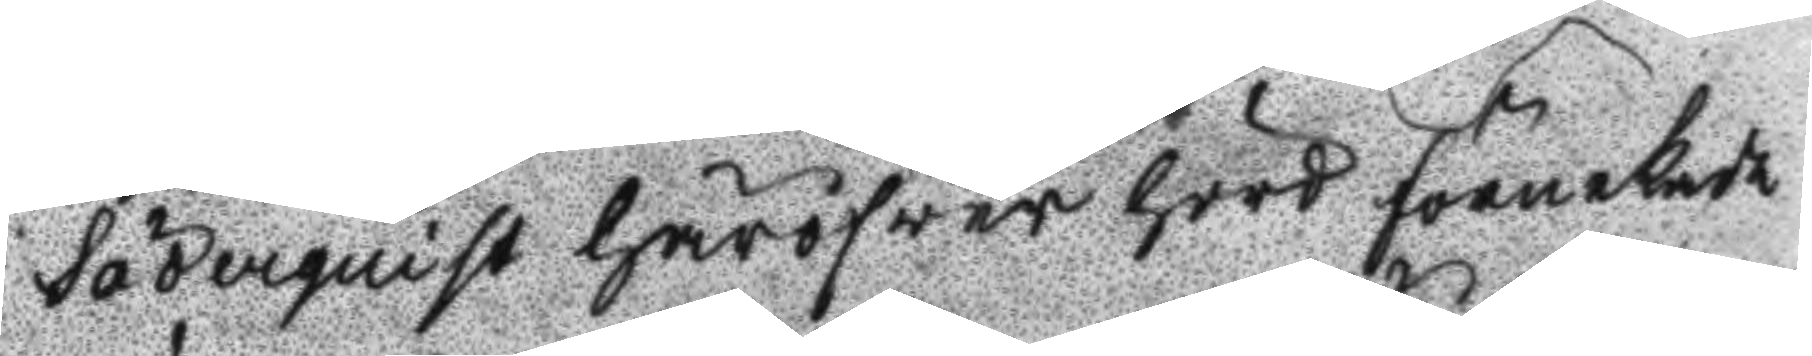Söderquist häröfwer hörd förnekade
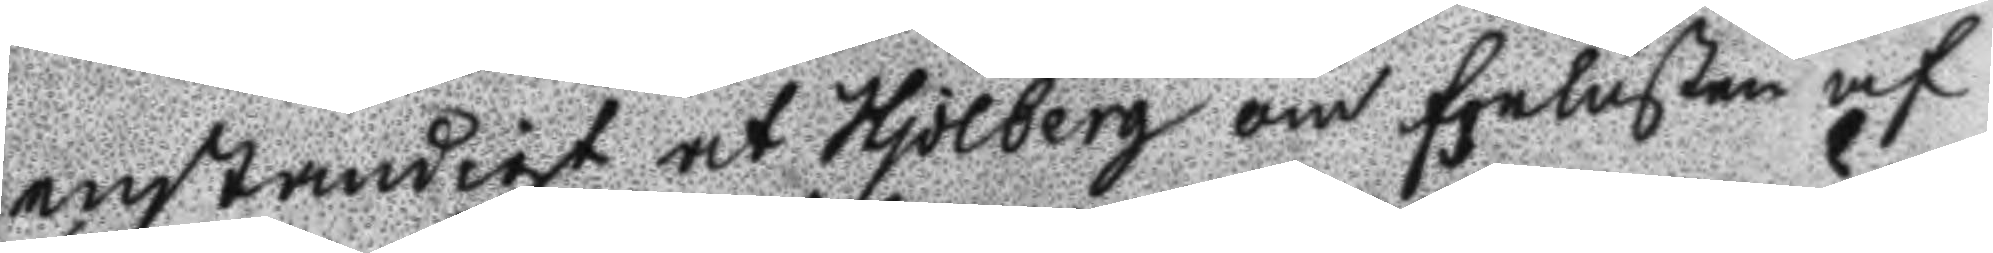enständigt at Hjolberg om förlusten af
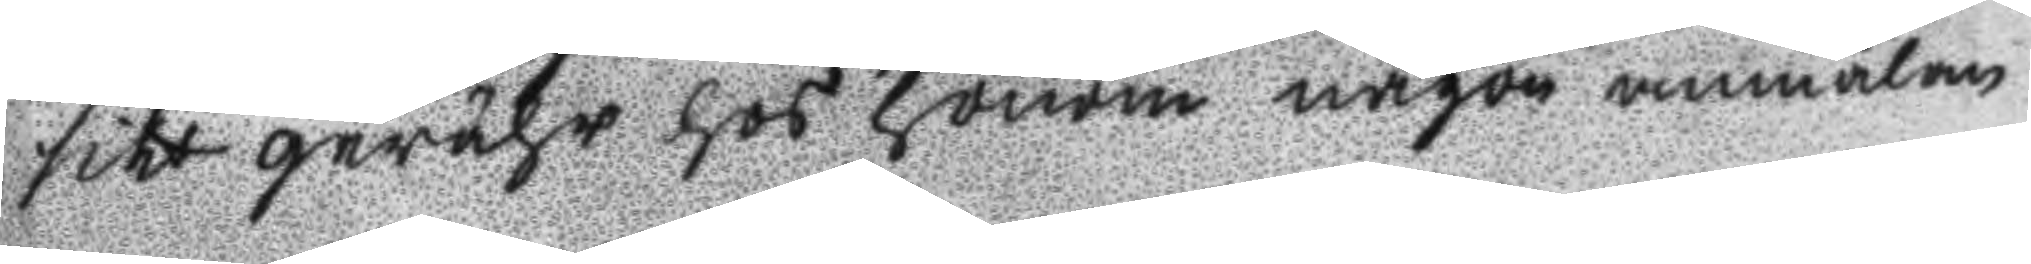sitt gewähr hos honom någon anmälan
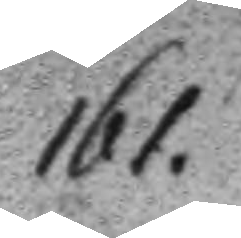161.
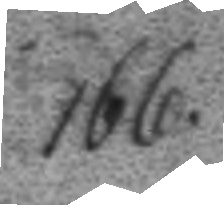166.
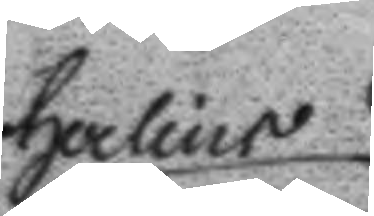Herlins
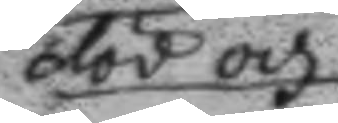död och
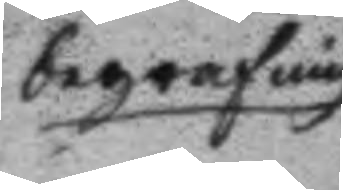begrafning
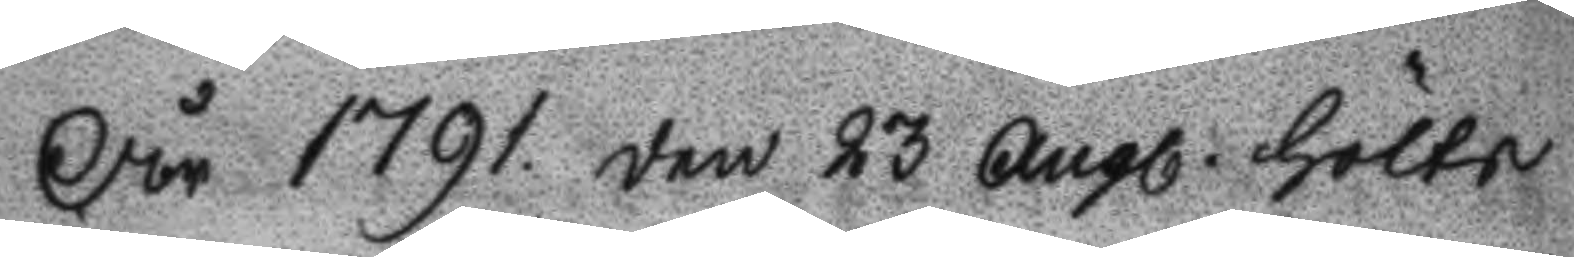År 1791 den 23 Augl. hölts
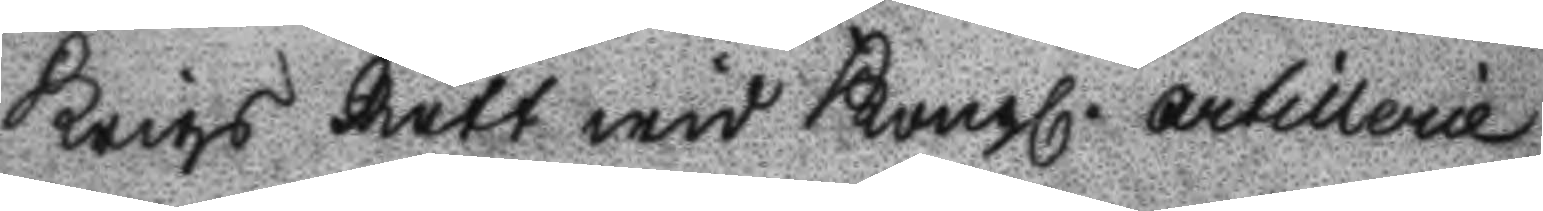Krigs Rätt wid Kongl. artillerie
